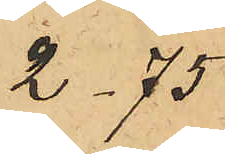2.75
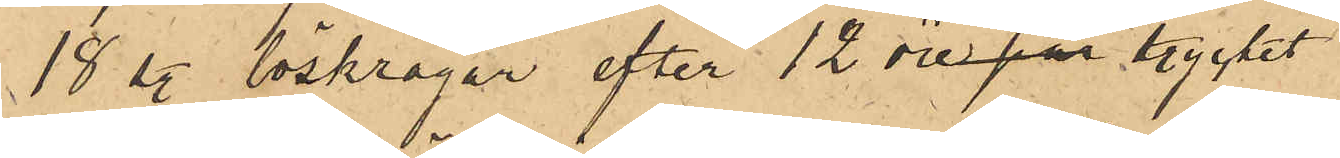18 sty. löskragar efter 12 öre par stycket
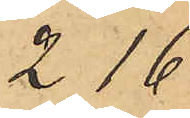2.16
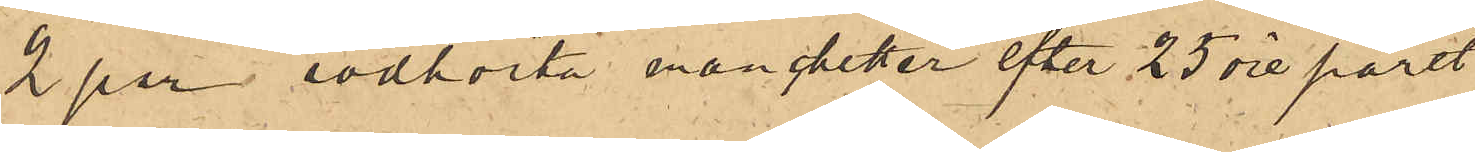2 par rödhvita manchetter efter 25 öre paret
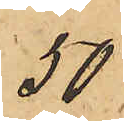50
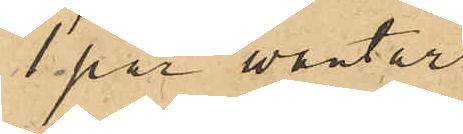1 par wantar
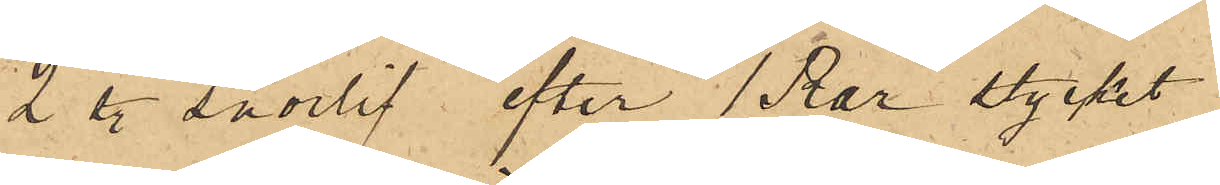2 sty. snörlif efter 1 Rdr stycket
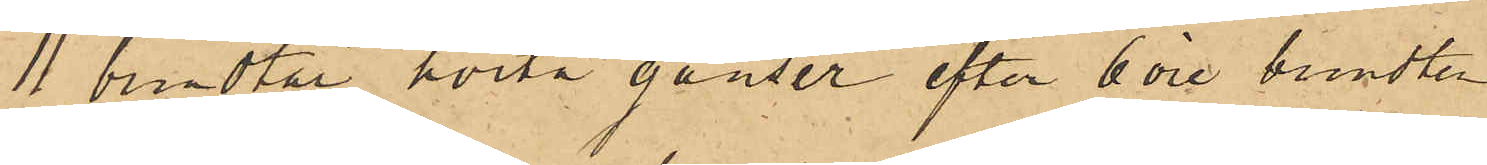11 bundtar hvita ganser efter 6 öre bundten
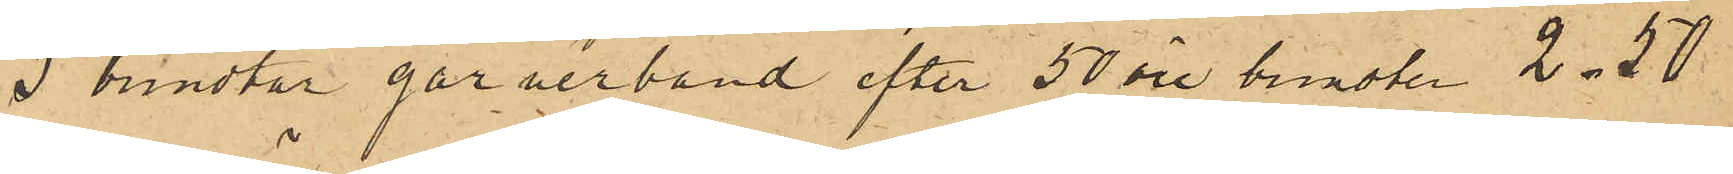5 bundtar garnerband efter 50 öre bundten 2.50
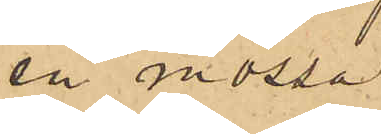en mössa
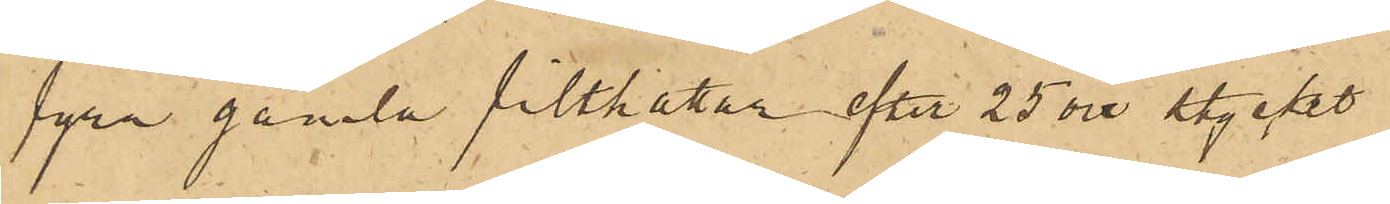fyra gamla filthattar efter 25 öre stycket
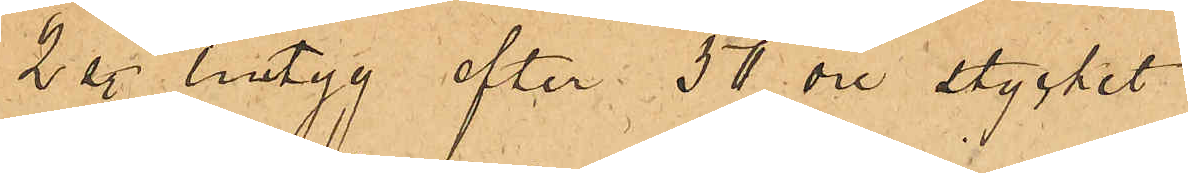2 sty. lintyg efter 50 öre stycket
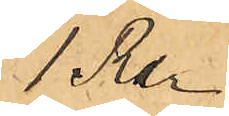1 Rdr
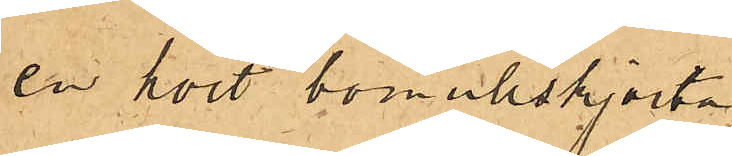en kort bomullsskjorta
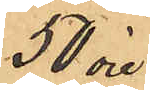50 öre
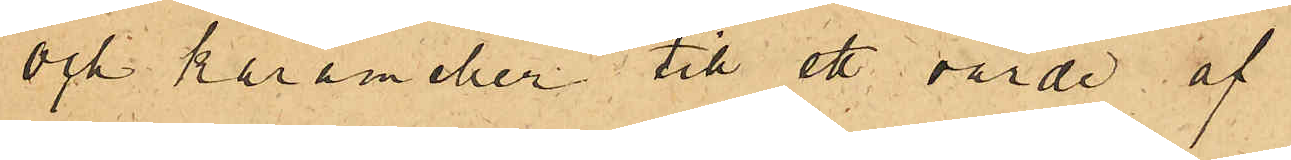och karameller till ett värde af
